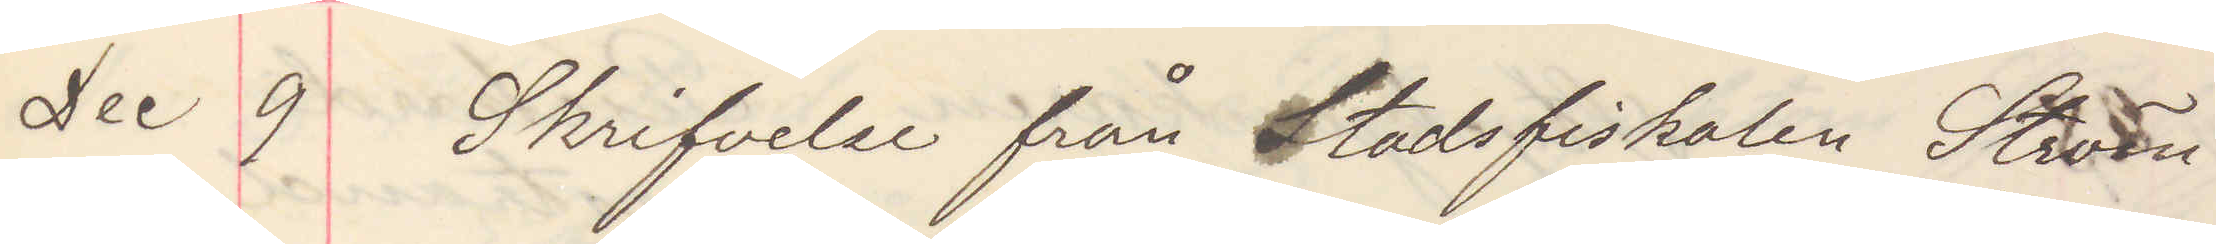Dec 9 Skrifvelse från Stadsfiskalen Ström
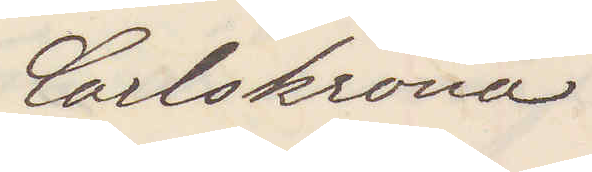Carlskrona
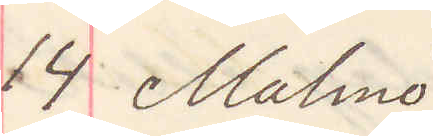14 Malmö
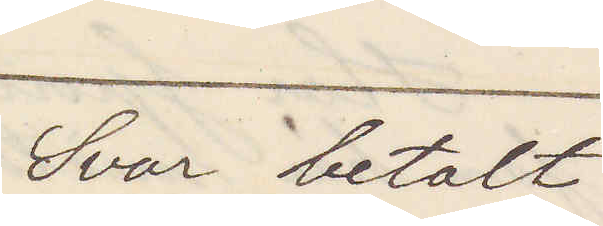Svar betalt
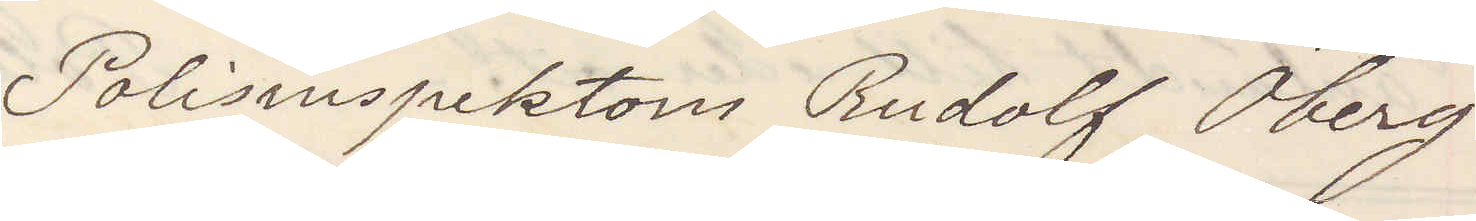Polisinspektorn Rudolf Öberg
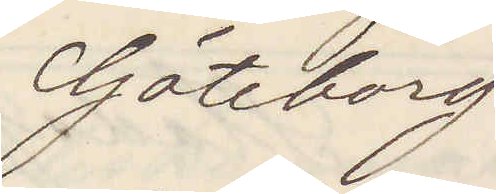Göteborg
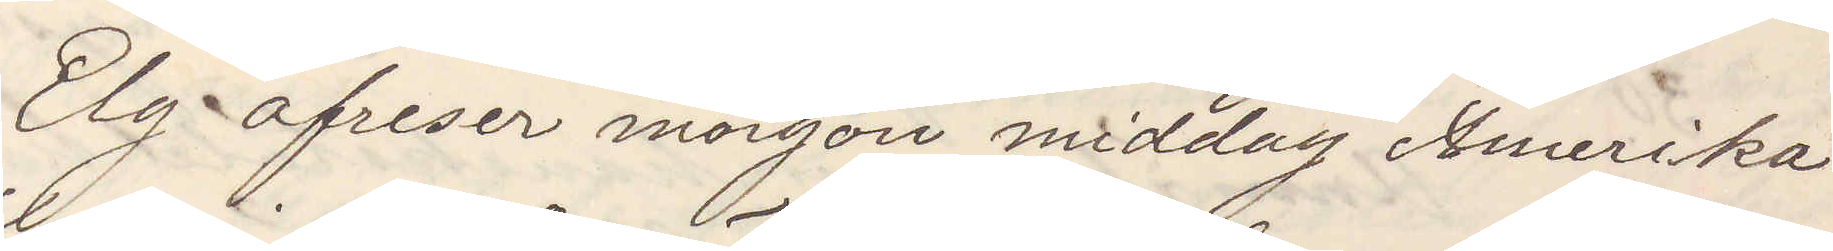Elg afreser mogon middag Amerika
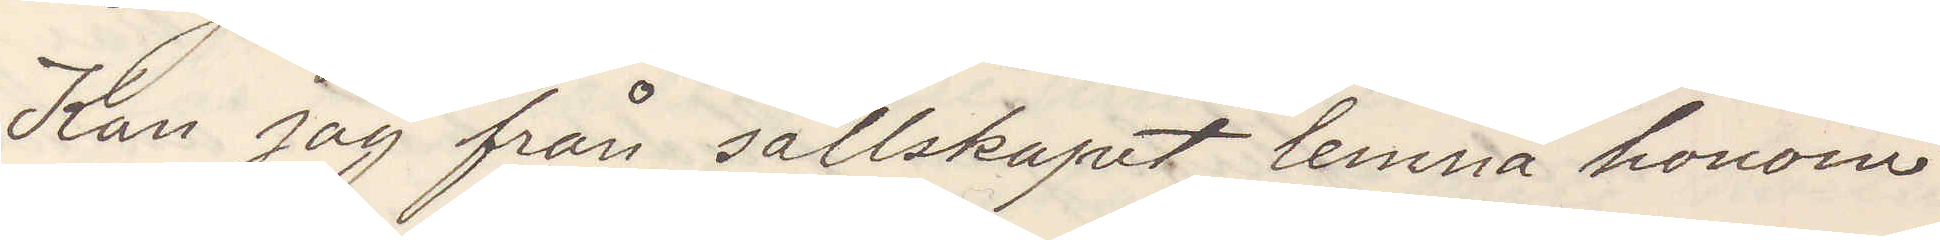Kan jag från sällskapet lemna honom
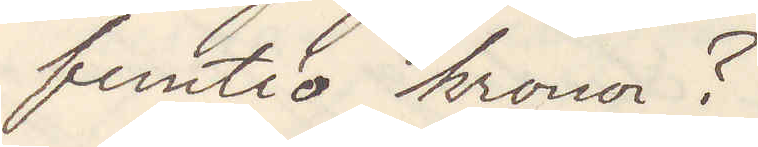femtio kronor?
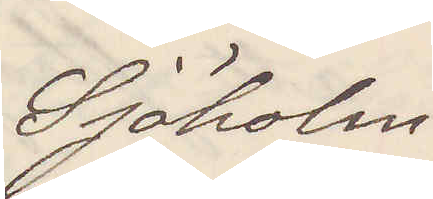Sjöholm
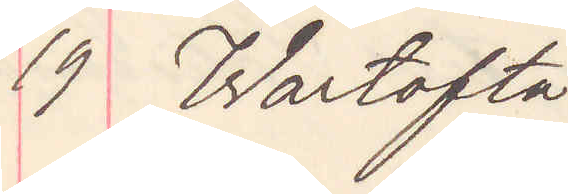19 Wartofta
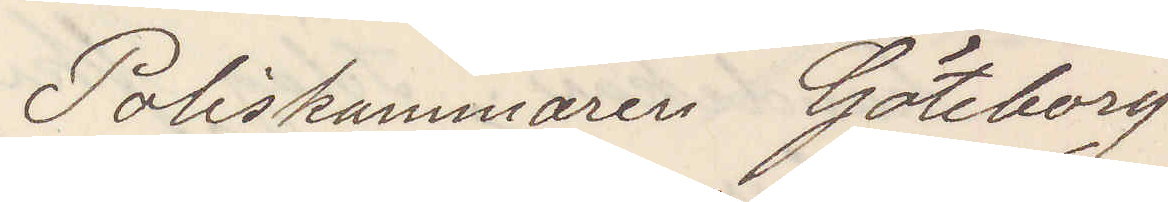Poliskammaren Göteborg
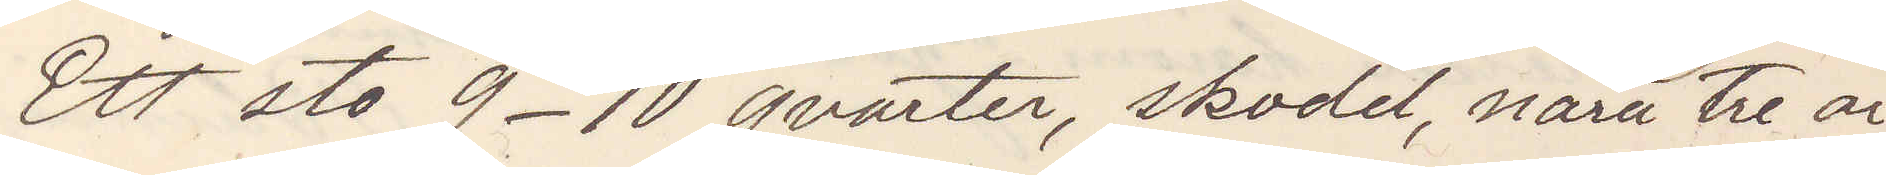Ett sto 9-10 qvarter, skodd, nära tre år,
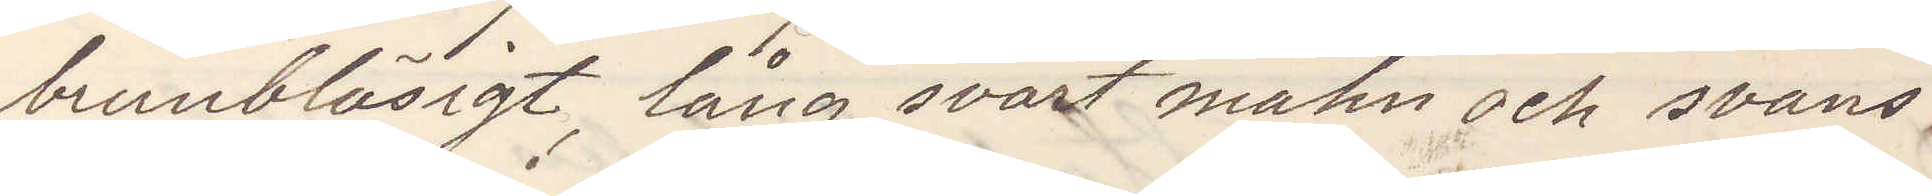brunbläsigt, lång svart mahn och svans
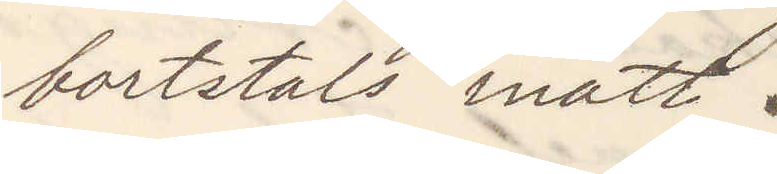bortstals inatt.
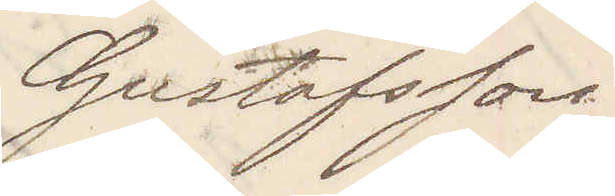Gustafsson
